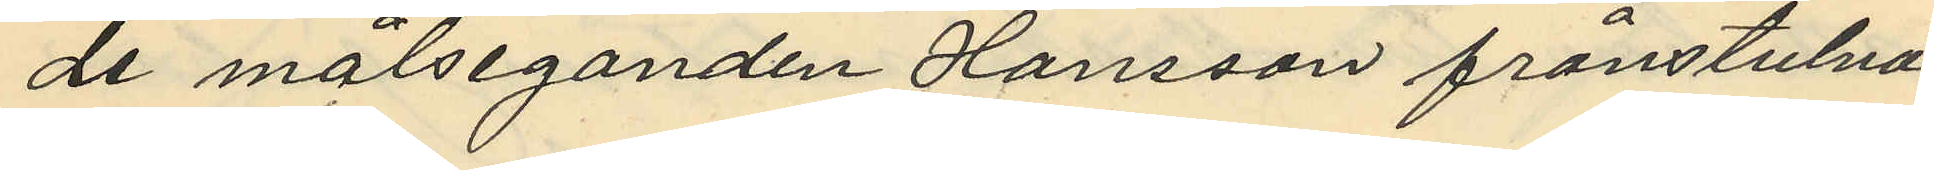de målseganden Hansson frånstulna
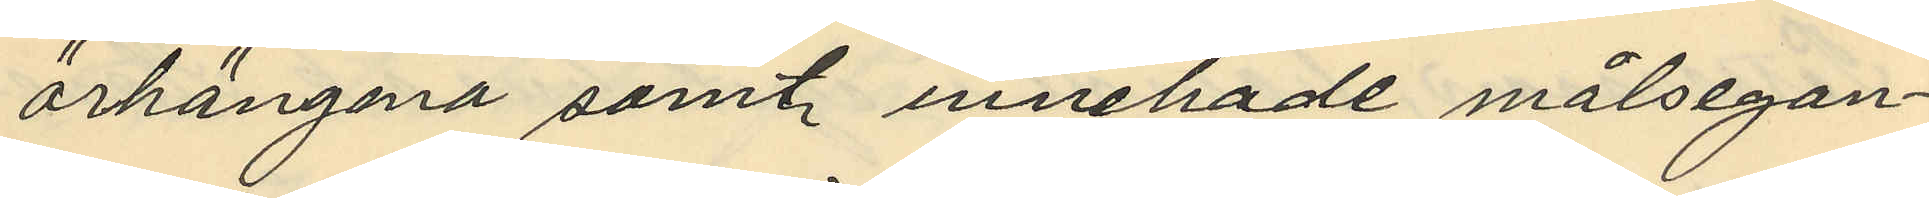örhängena samt innehade målsegan¬
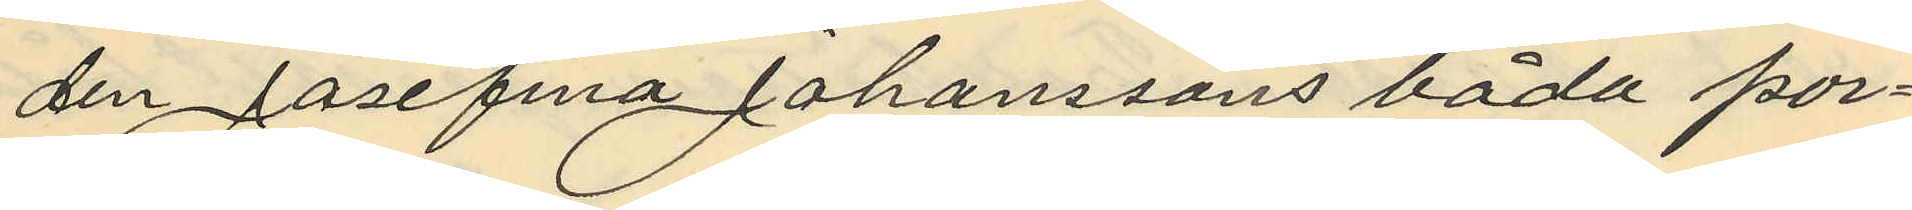den Josefina Johanssons båda por¬
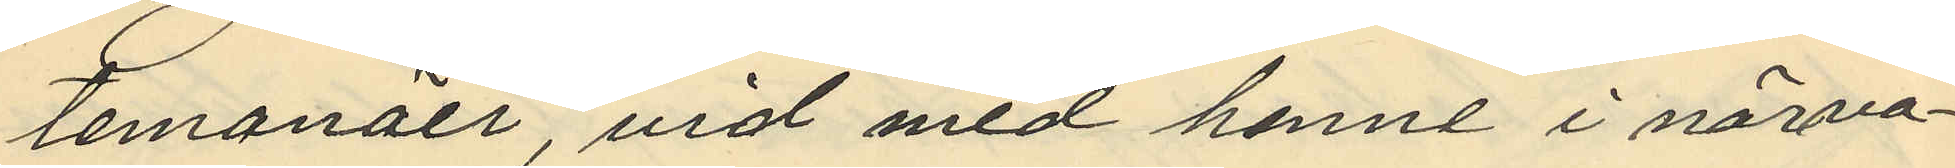temanäer, vid med henne i närva¬
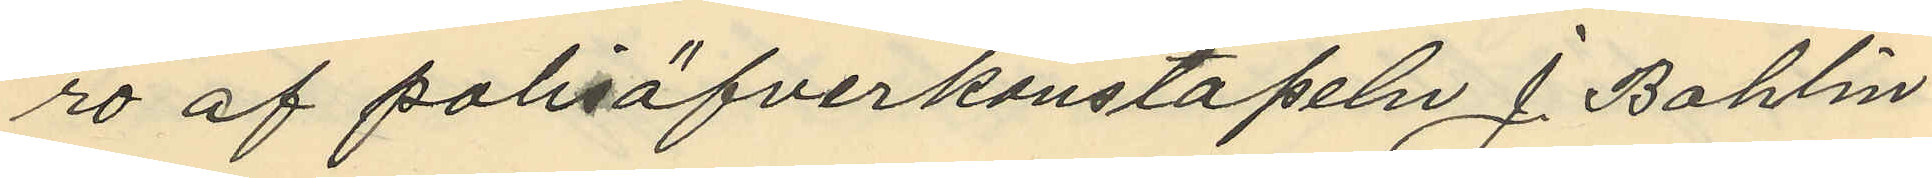ro af polisöfverkonstapeln J. Bohlin
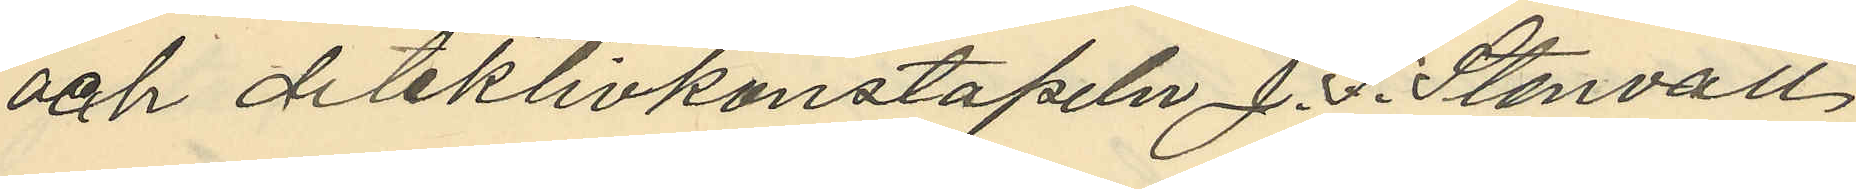och detektivkonstapeln J. F. Stenvall
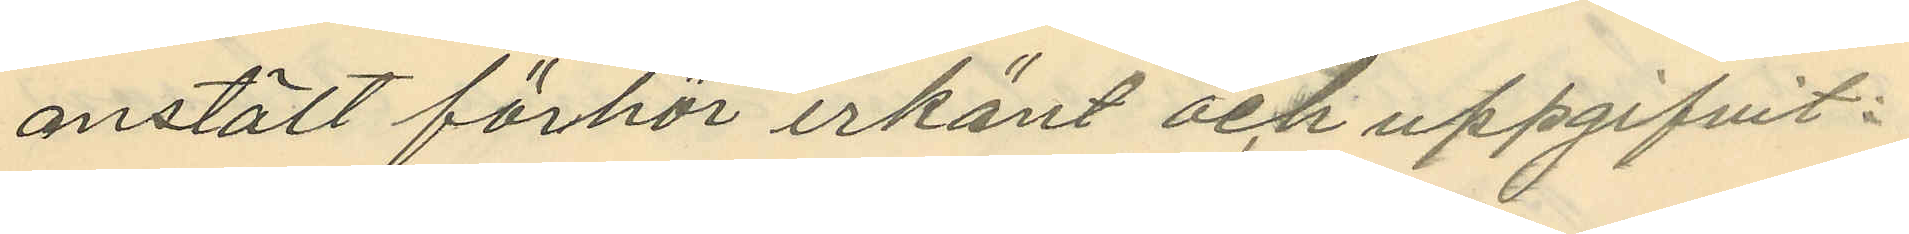anstält förhör erkänt och uppgifvit:
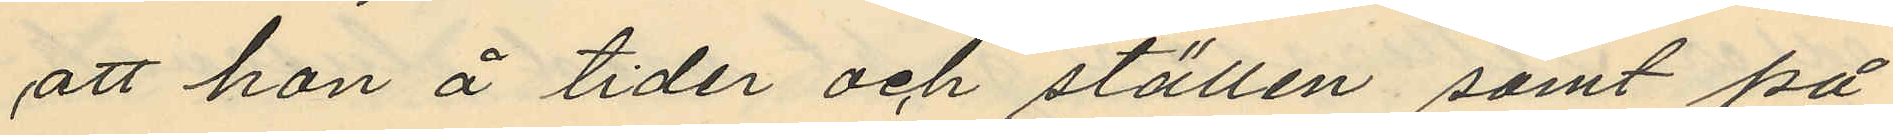att hon å tider och ställen samt på
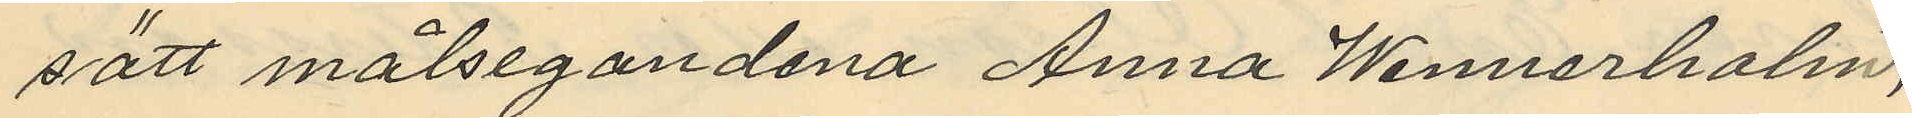sätt målsegandena Anna Wennerholm,
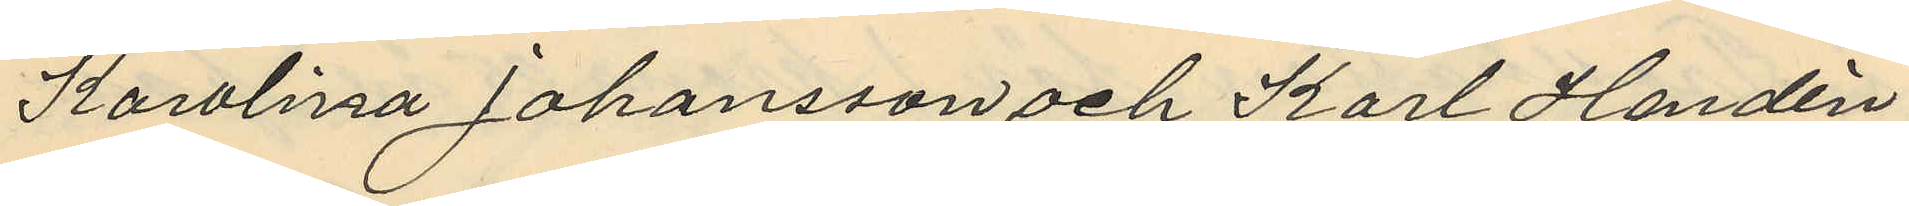Karolina Johansson och Karl Handén
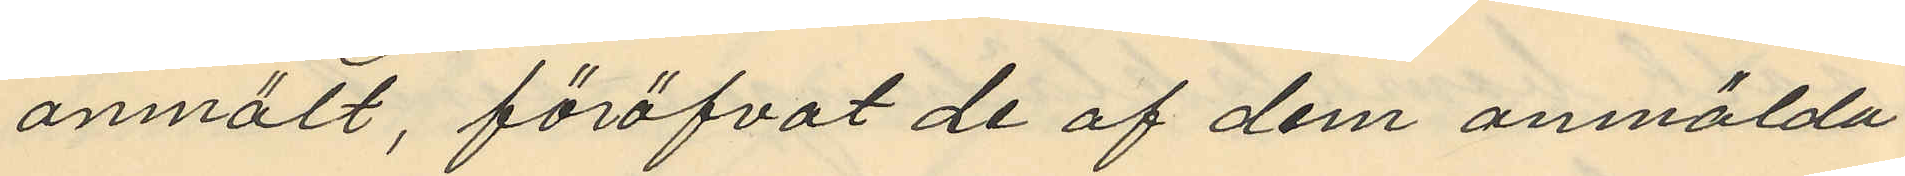anmält, föröfvat de af dem anmälda
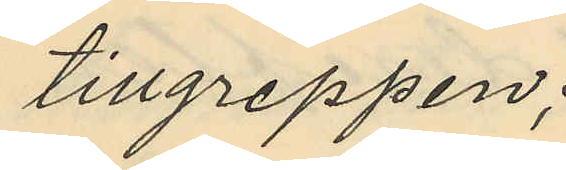tillgreppen;
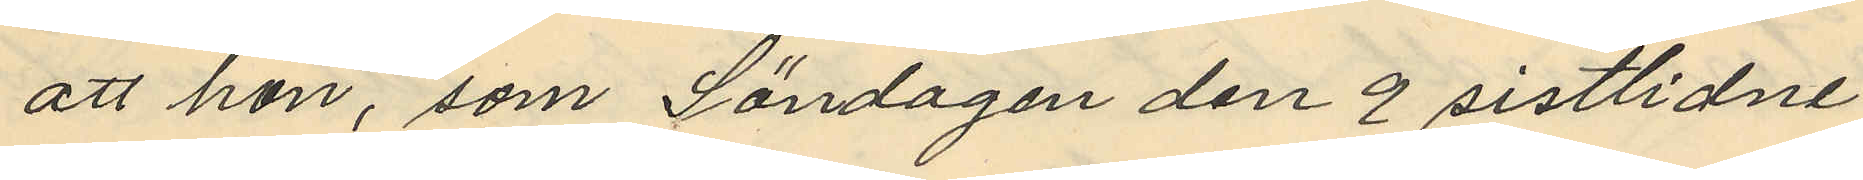att hon, som Söndagen den 9 sistlidne
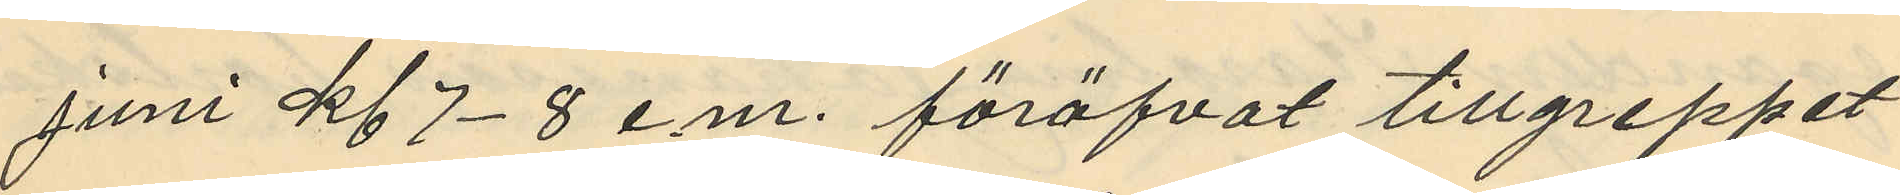juni kl 7-8 em. föröfvat tillgreppet
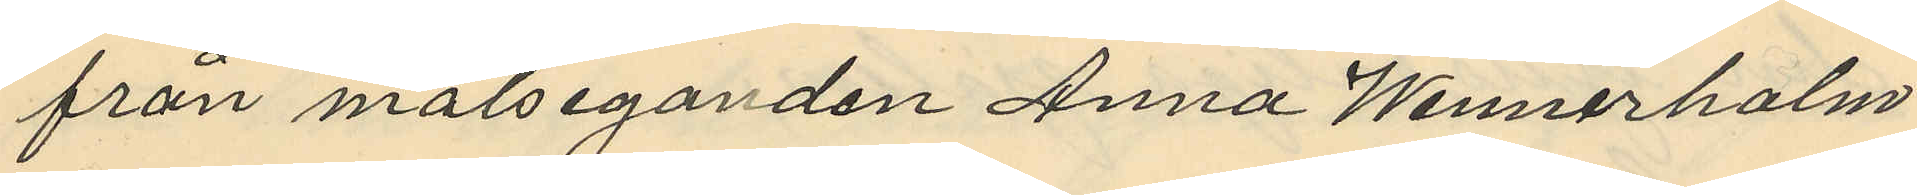från målseganden Anna Wennerholm
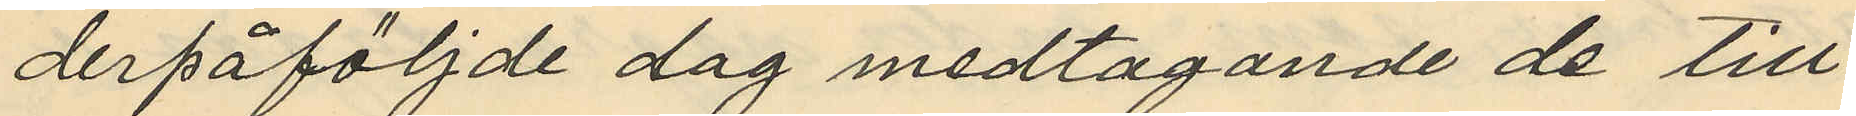derpåföljnde dag medtagande de till
